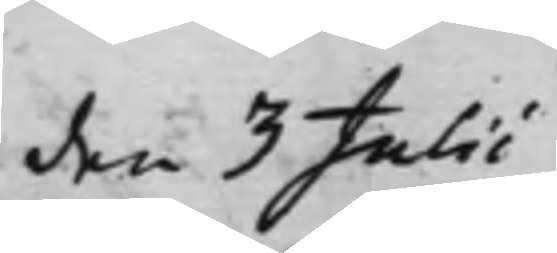den 3 Julii
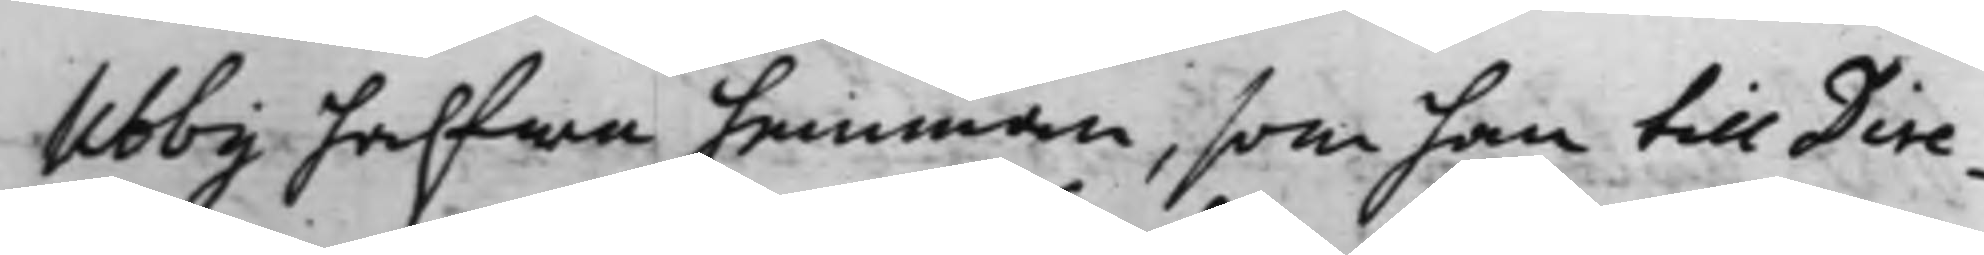Ubby halfwa hemman, som han till Dire¬
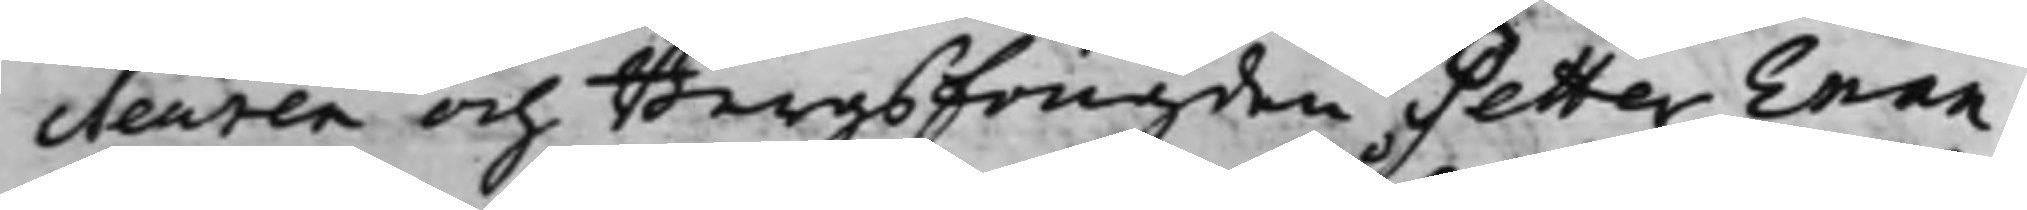cteuren och BergsFougden Petter Enan¬
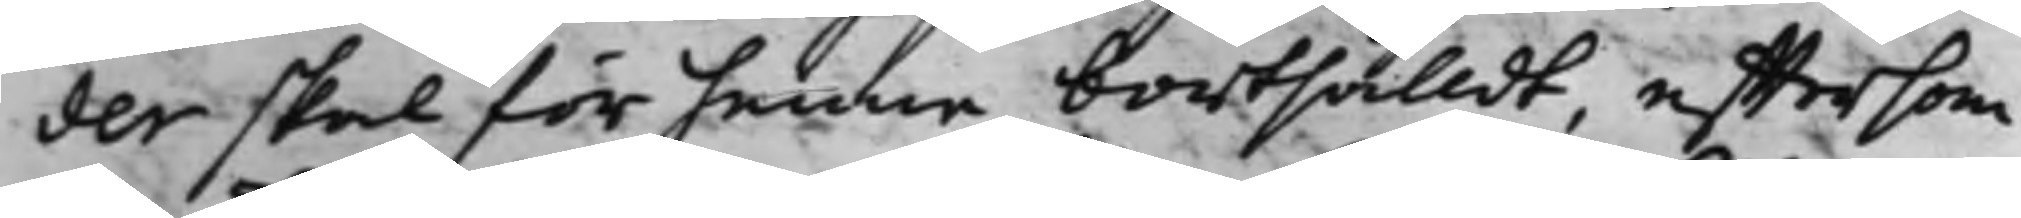der skal för henne bortsålldt, efftersom
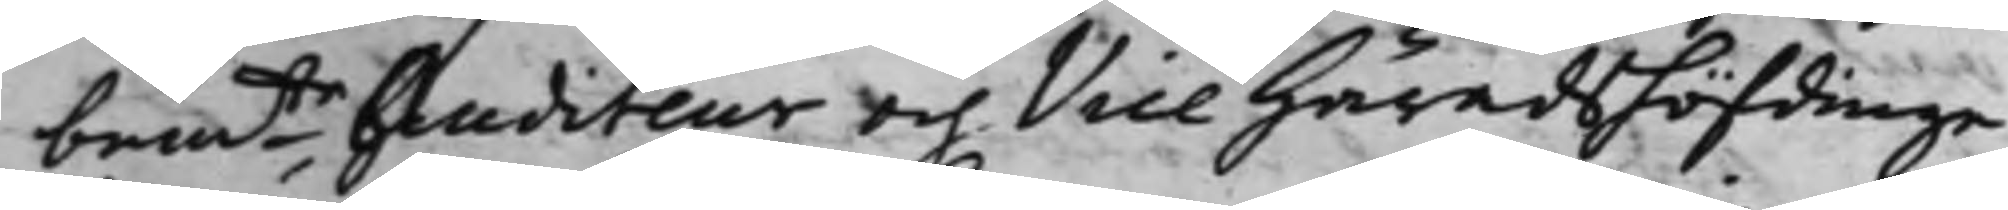bemte Auditeur och Vice Häradshöfdinge
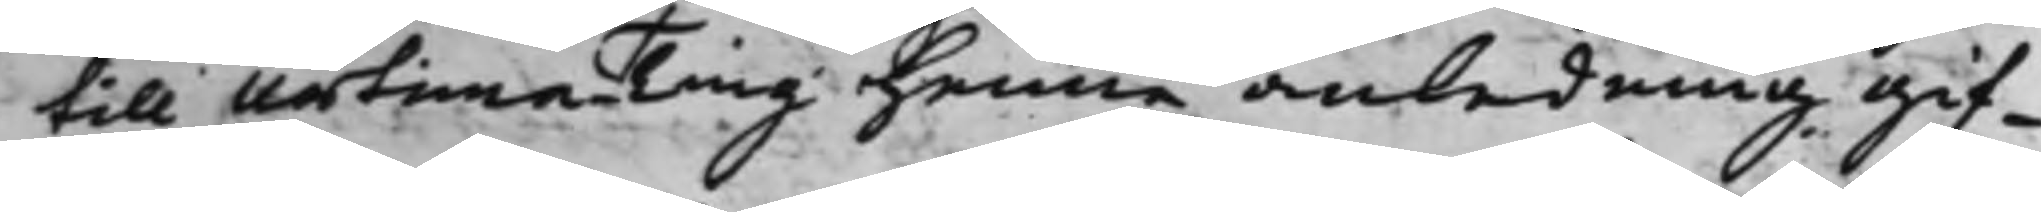till Urtima Ting henne anledning gif¬
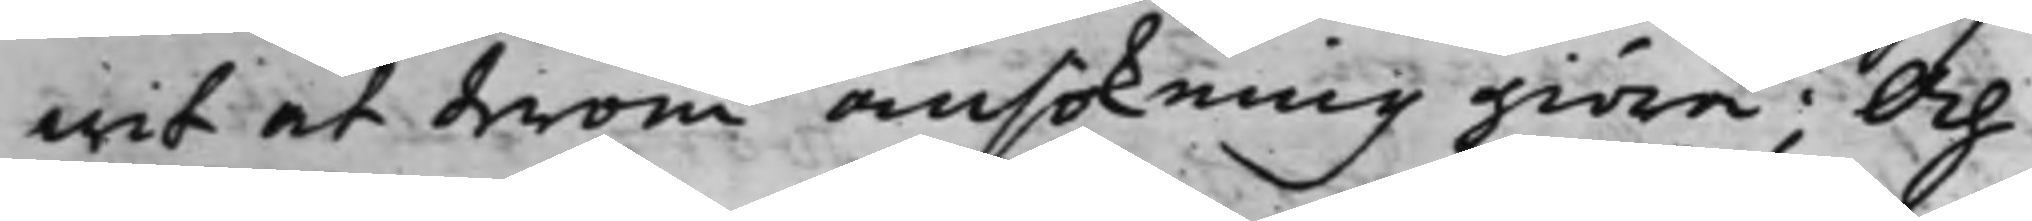wit at derom ansökning giöra; Och
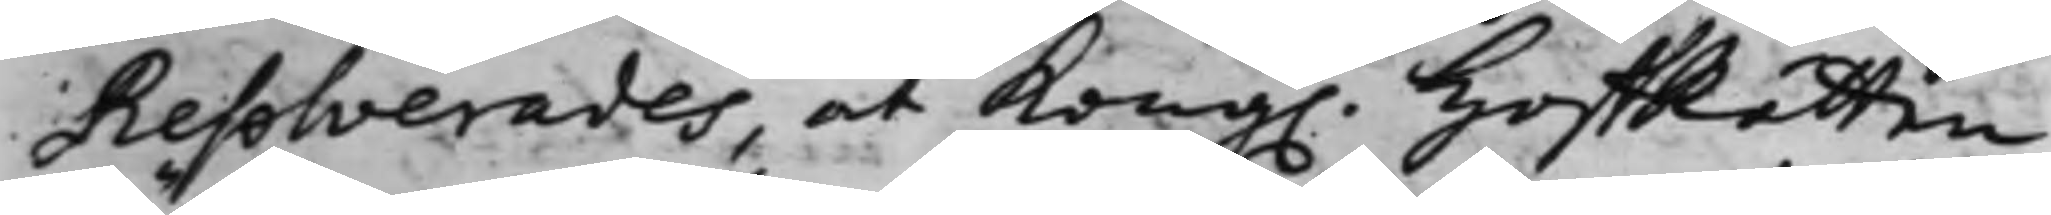Resolverades, at Kong. HoffRätten
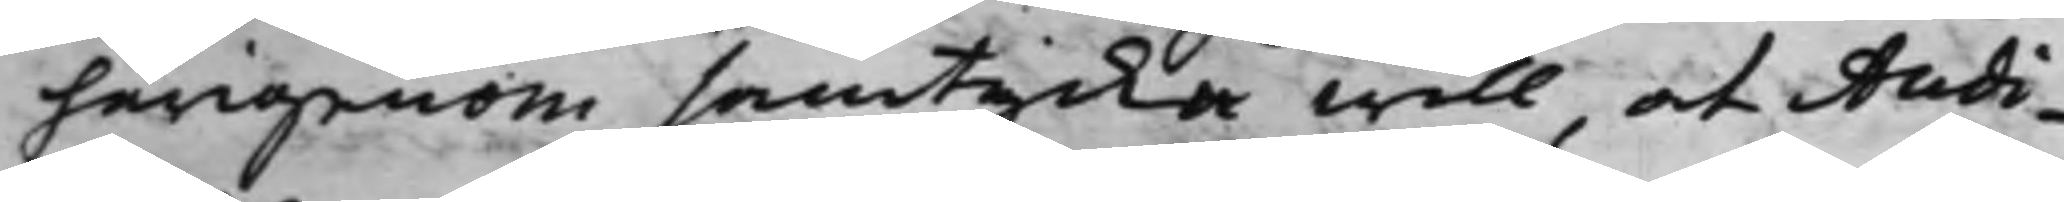härigenom samtycka will, at Audi¬
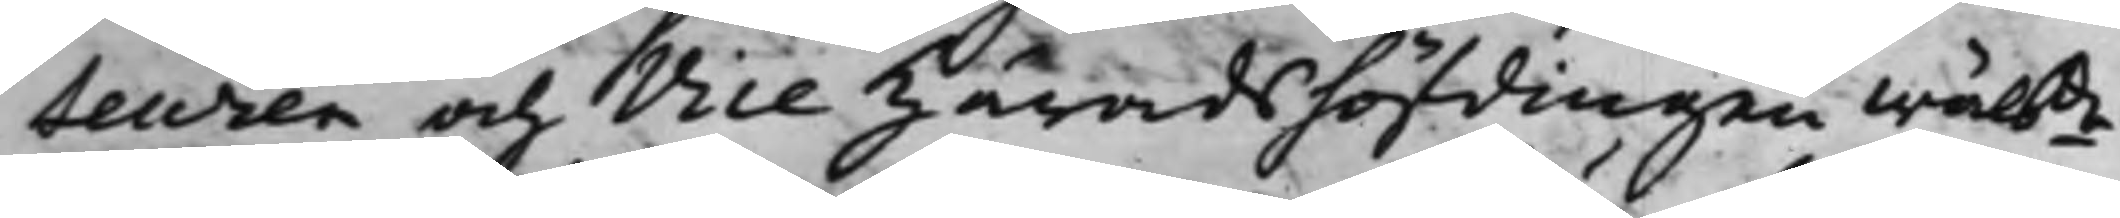teuren och Vice Häradshöfdingen wälbde
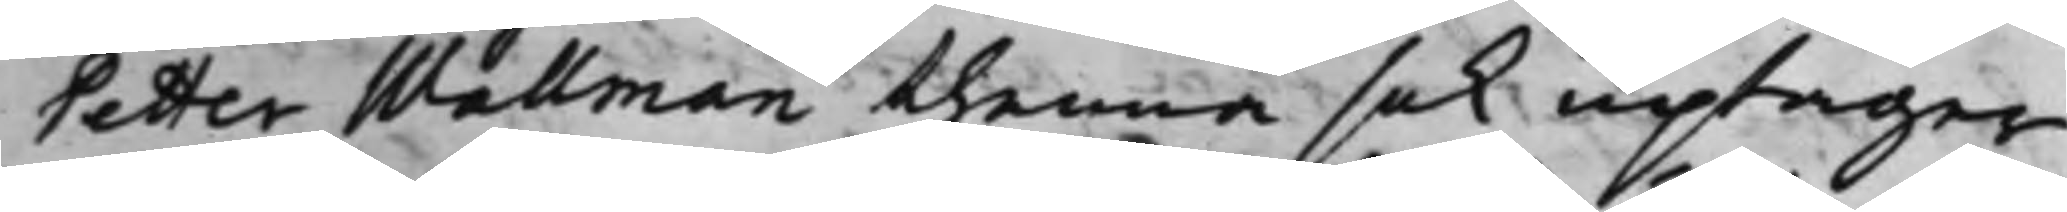Petter Wallman thenna sak uptager
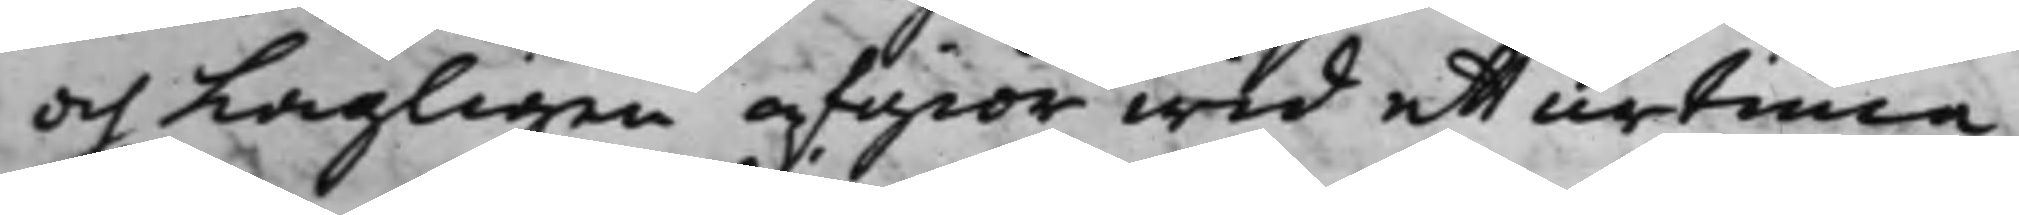och Lagligen afgiör wid ett urtima
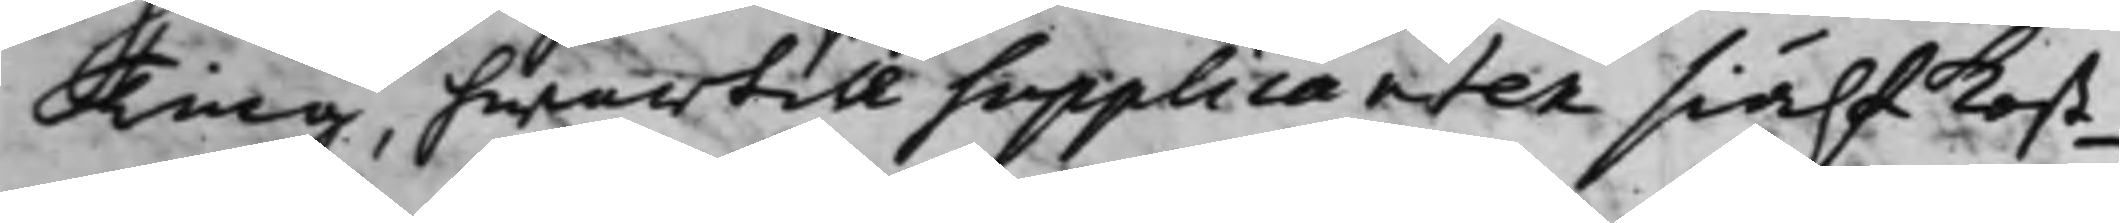Ting, hwartill supplicanten siälf Kost¬
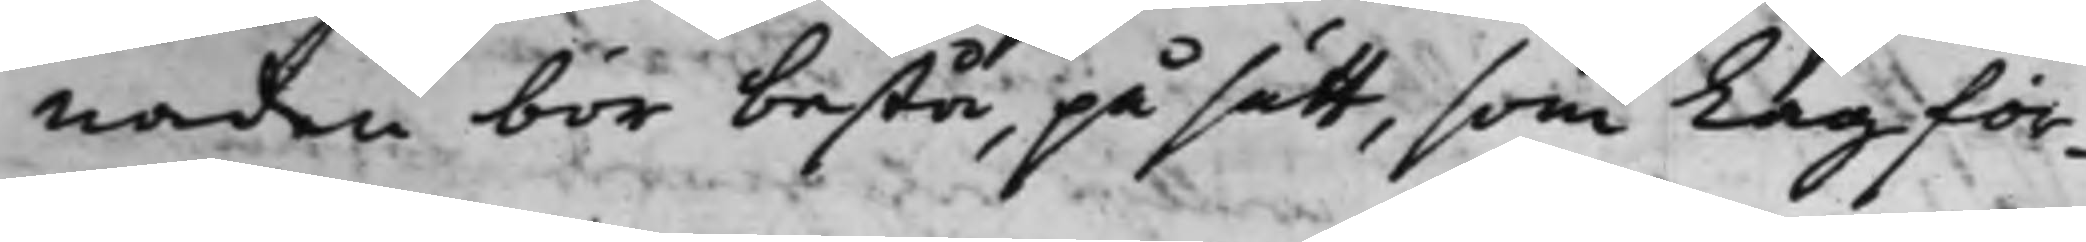naden bör bestå, på sätt, som Lag för¬
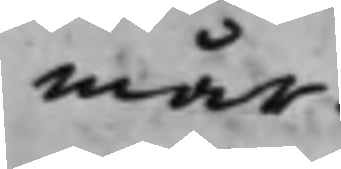mår.
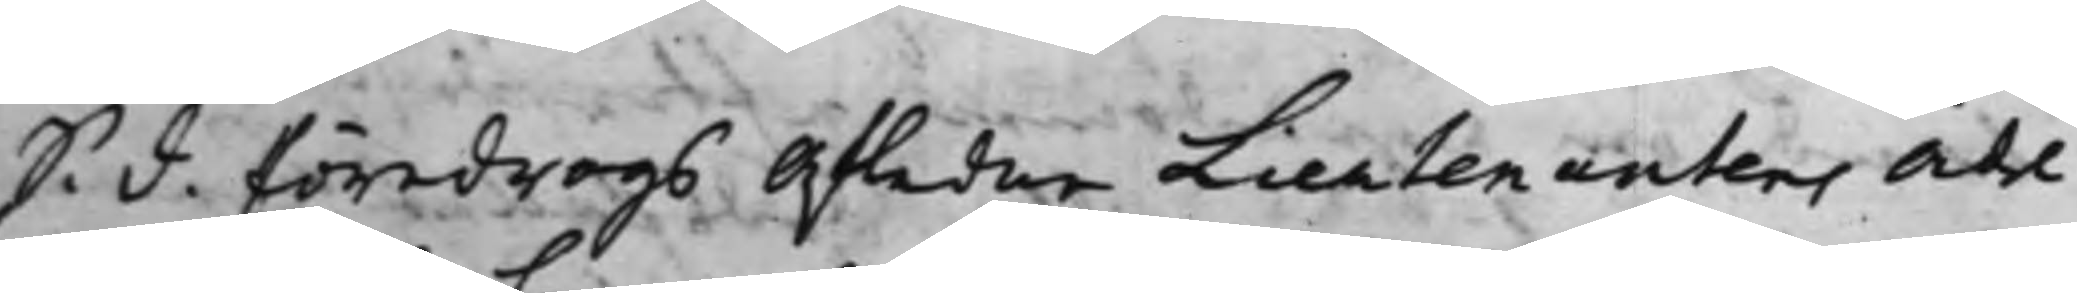S. d. Föredrogs Afledne Lieutenantens ädel
